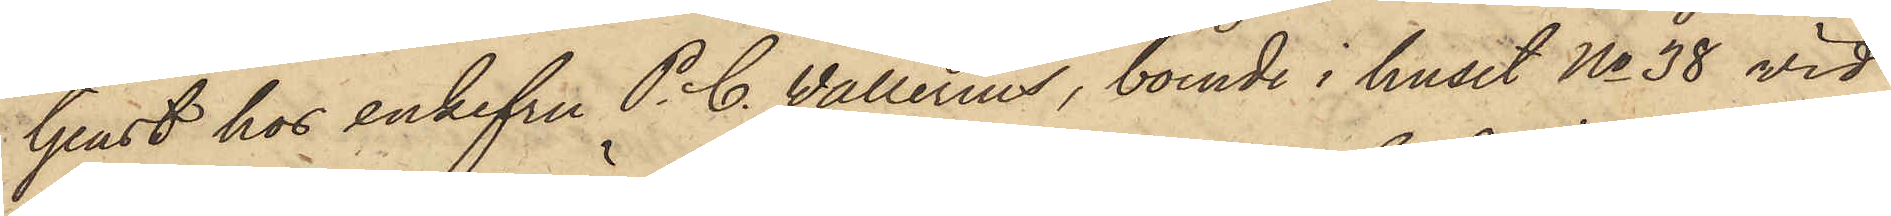tjenst hos enkefru P. C. Wallerius, boende i huset No 38 vid
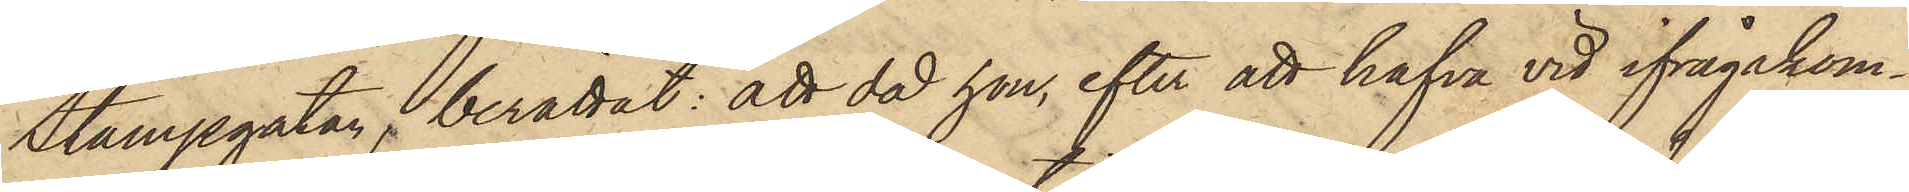Stampgatan, berättat: att då hon, efter att hafva vid ifrågakom¬
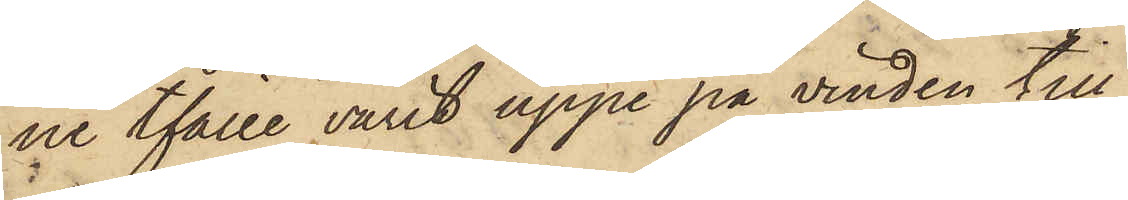ne tfälle varit uppe på vinden till
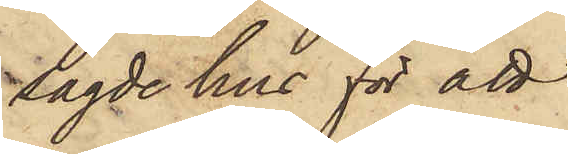sagde hus för att
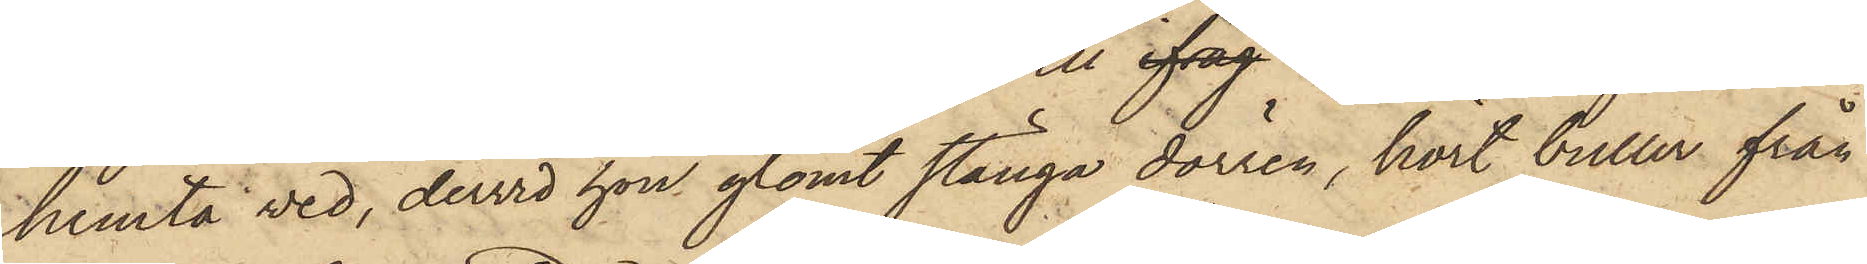hemta ved, dervid hon glömt stänga dörren, hört buller från
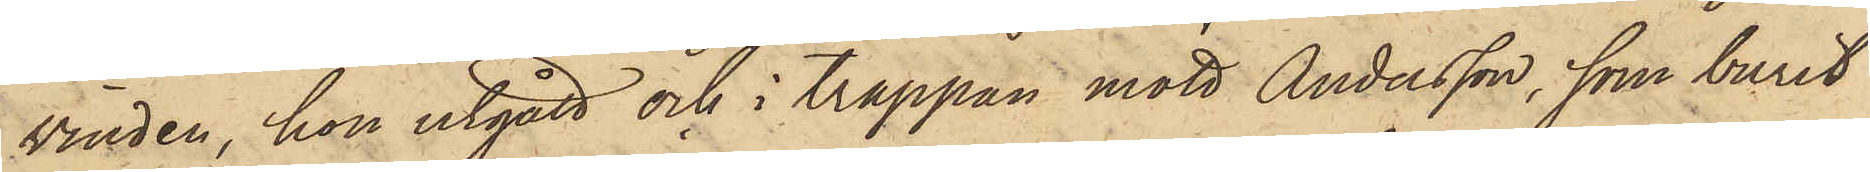vinden, hon utgått och i trappan mött Andersson, som burit
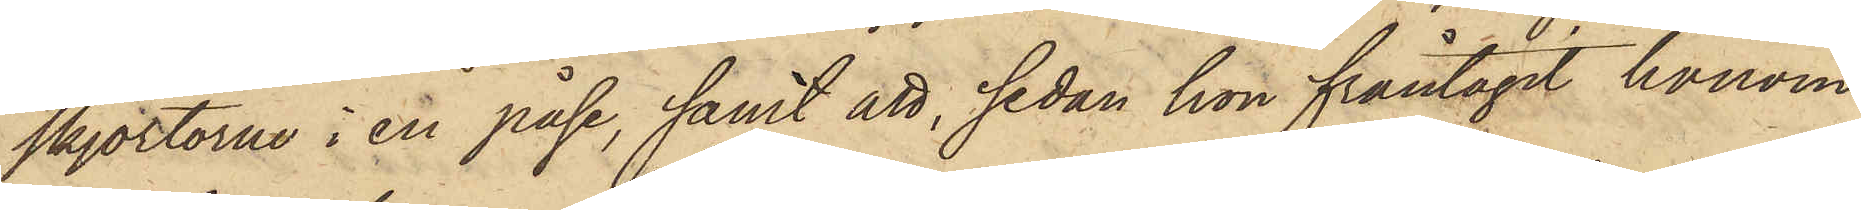skjortorne i en påse, samt att, sedan hon fråntagit honom
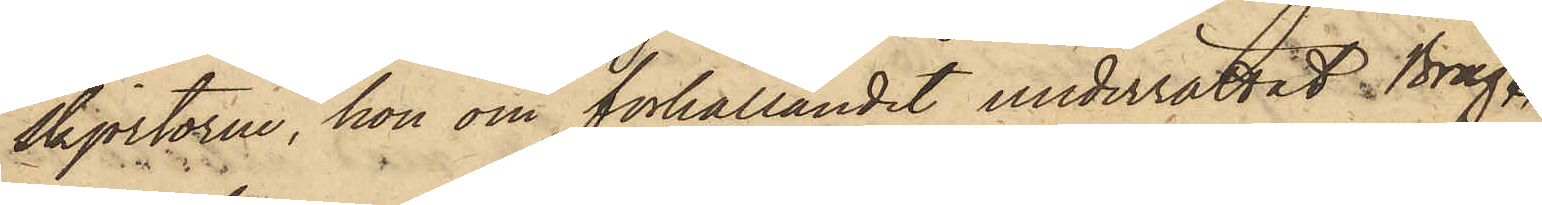skjortoren, hon om förhållandet underrättat Brag.
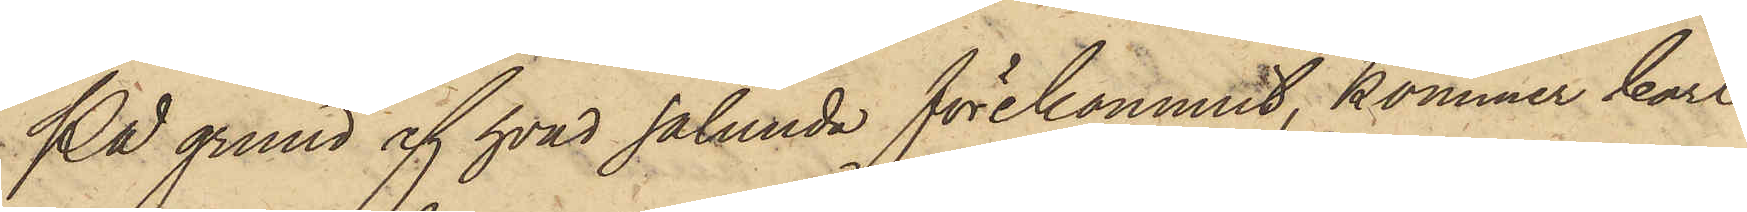På grund af hvad sålunda förekommit, kommer Carl
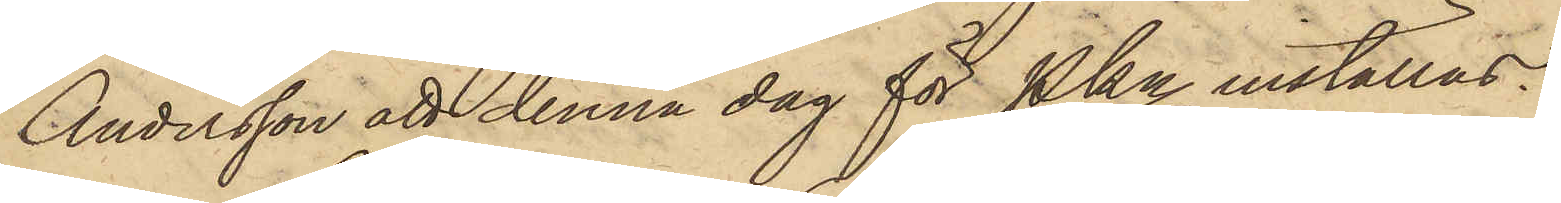Andersson att denna dag för Pkn inställas.
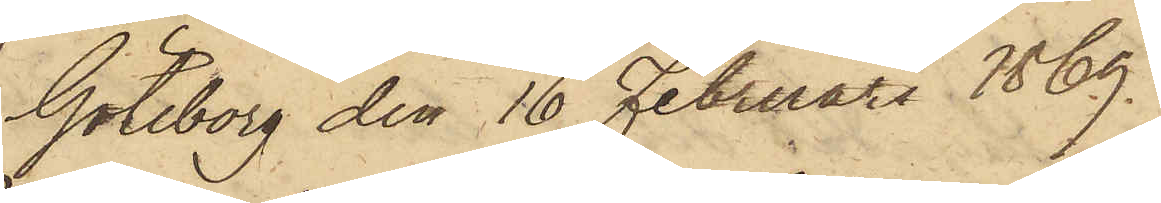Göteborg den 16 Februari 1869.
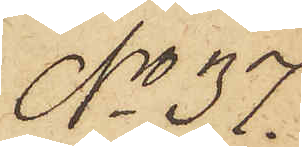No 37.
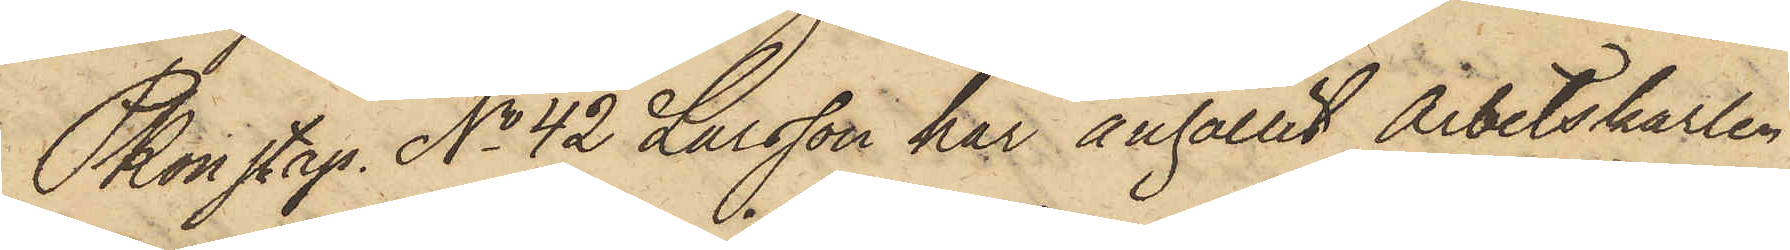Pkonstap. No 42 Larsson har anhållit Arbetskarlen
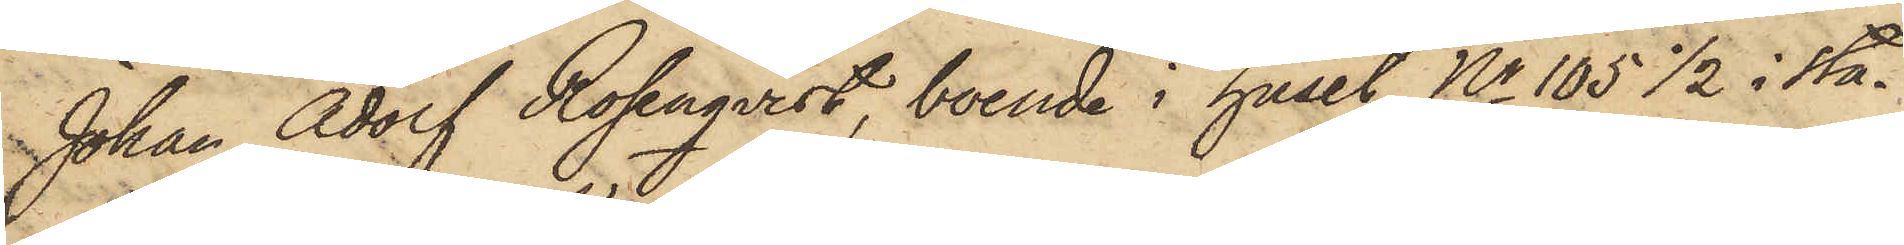Johan Adolf Rosenqvist, boende i huset No 105 1/2 i sta¬
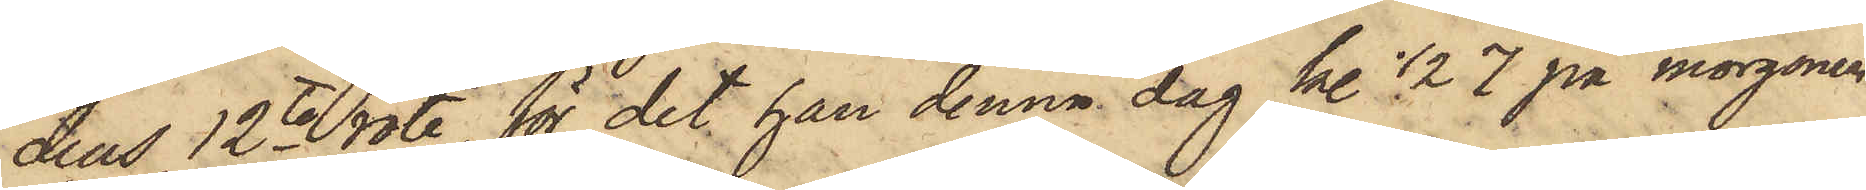dens 12te rote, för det han denna dag kl 1/2 7 på morgonen
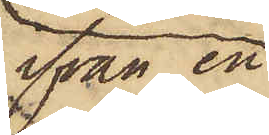ifrån en
